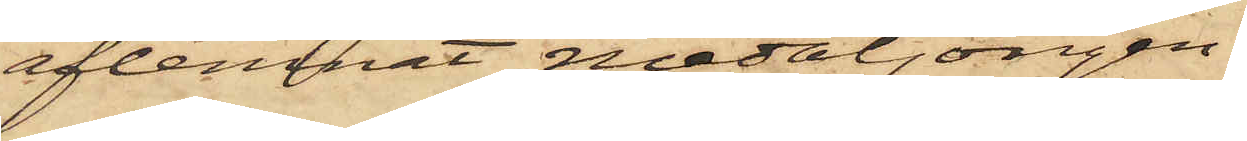aflemnat medaljongen.
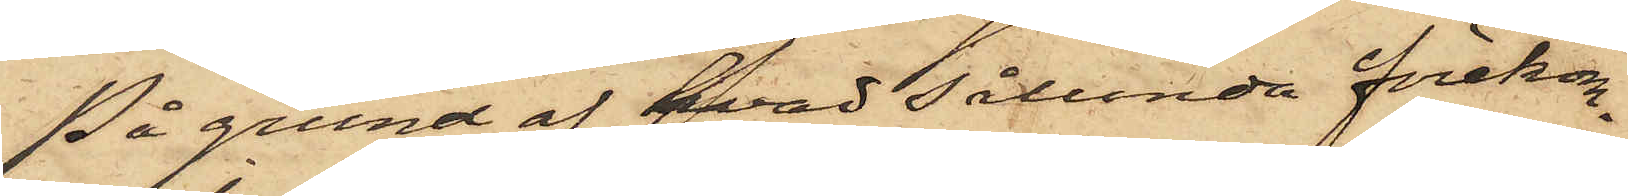På grund af hvad sålunda förekom¬
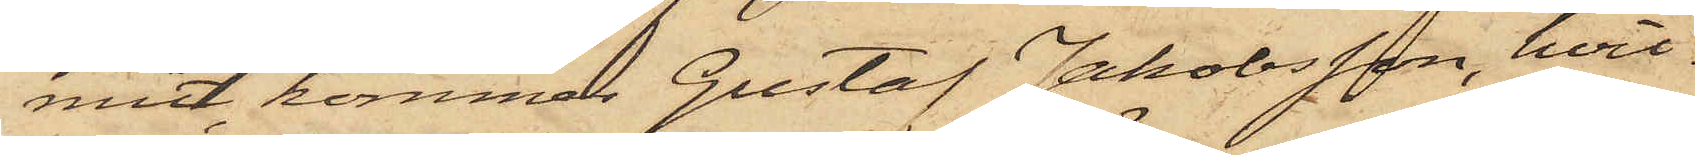mit, kommer Gustaf Jakobsson, hvil¬
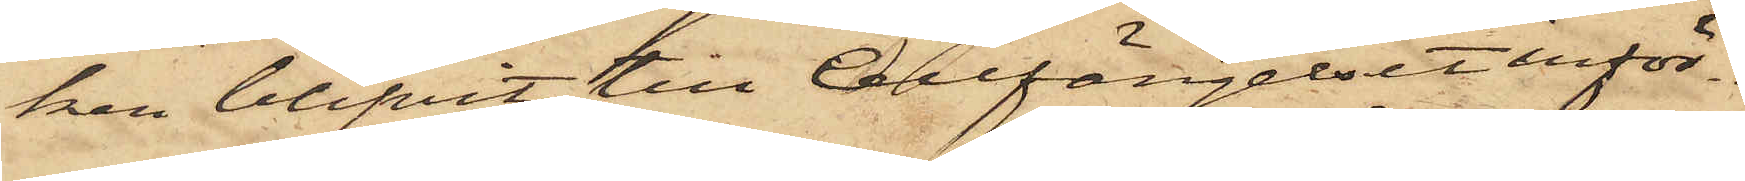ken blifvit till Cellfängelset inför¬
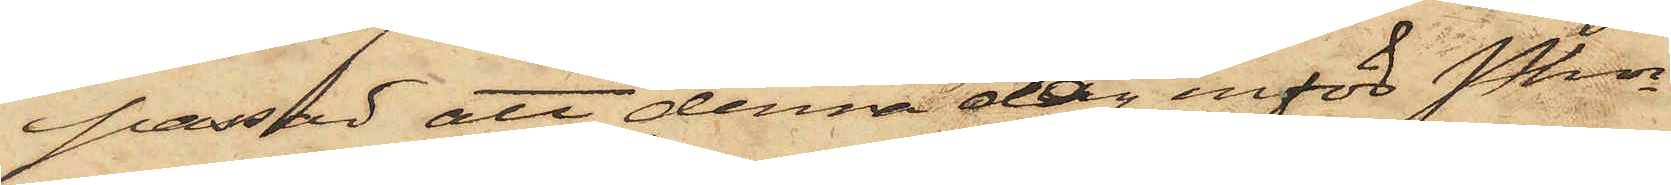passad att denna dag inför Pkn
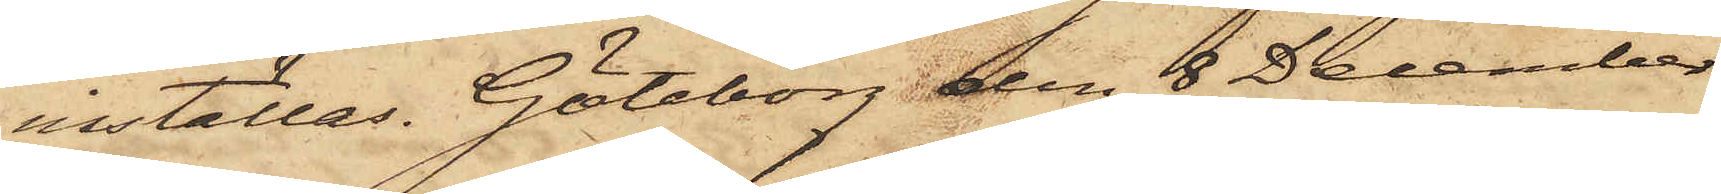inställas. Göteborg den 8 December
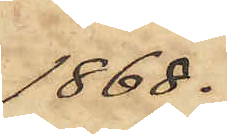1868.
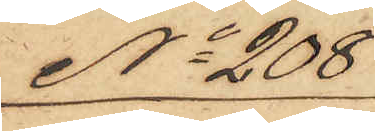No 208
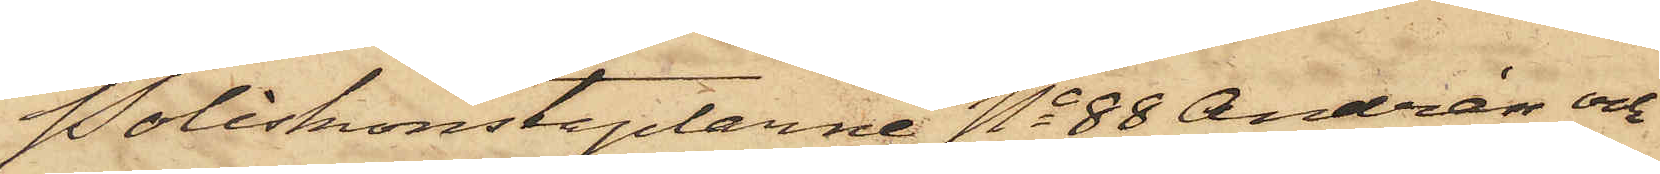Poliskonstaplarne No 88 Andrén och
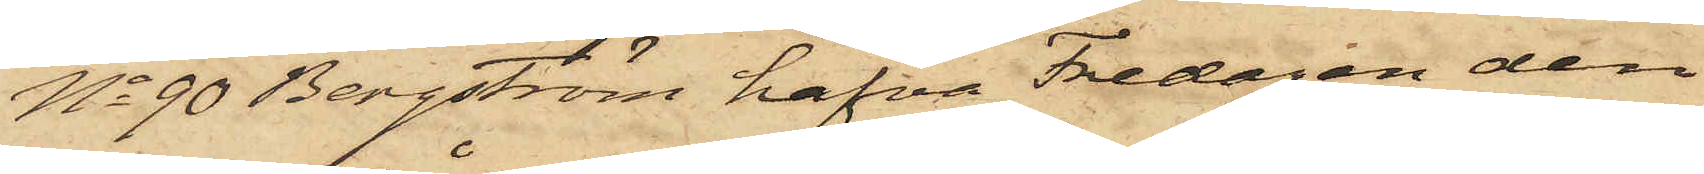No 90 Bergström hafva Fredagen den
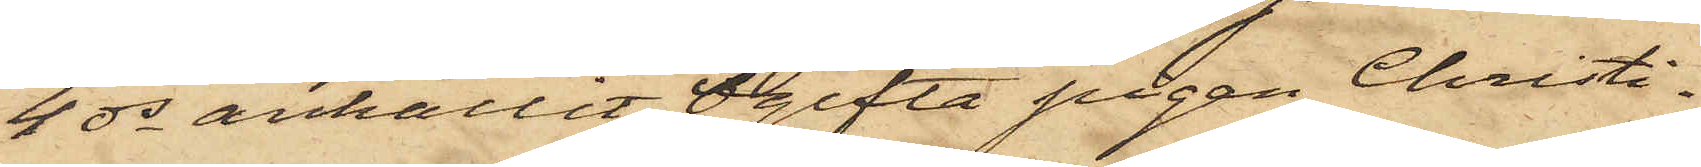4 ds anhållit Ogifta pigan Christi¬
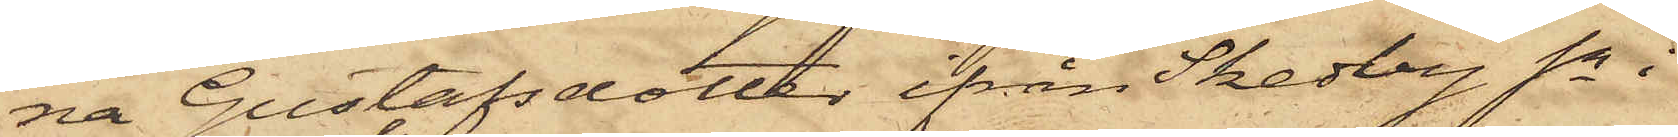na Gustafsdotter ifrån Skedberg Sn i
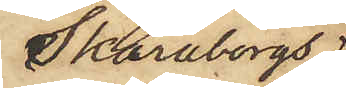Skaraborgs
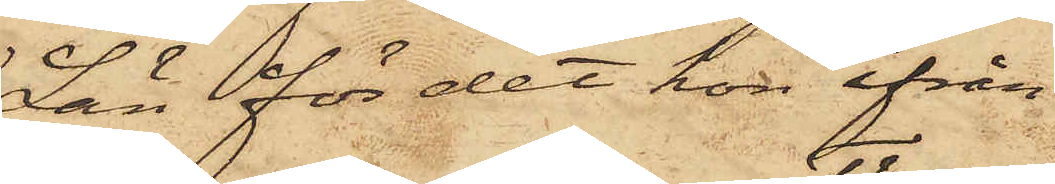Län för det hon ifrån
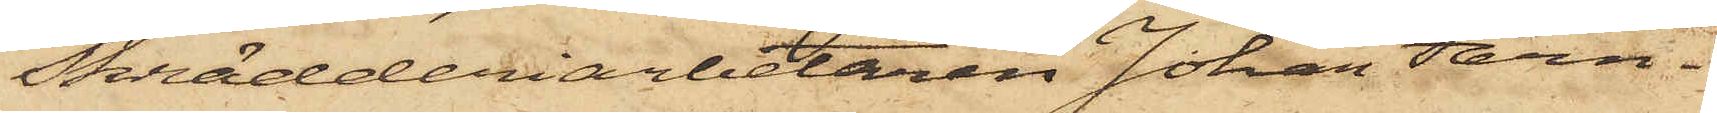Skrädderiarbetaren Johan Färn¬
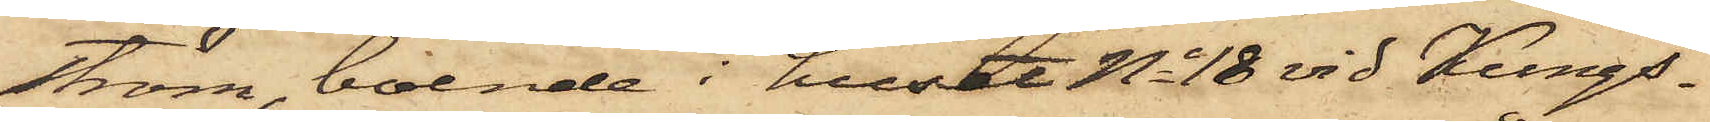ström, boende i huset No 18 vid Kungs¬
